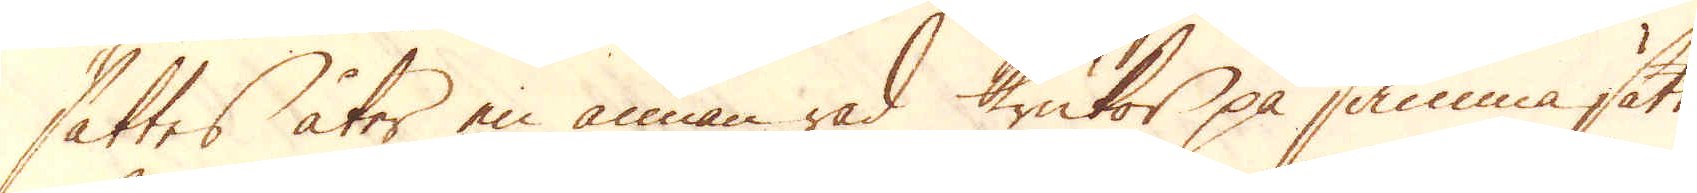sättes åter en annan rad krukor på samma sätt,
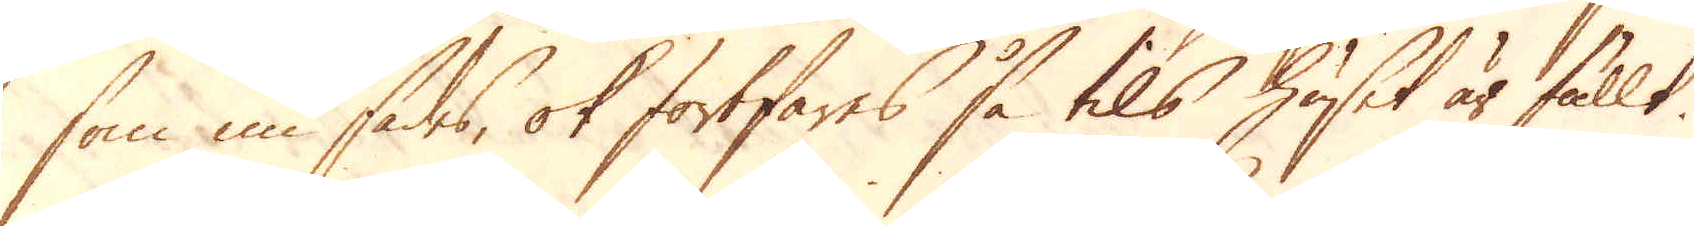som nu sades, ok fortfares så tils huset är fullt.
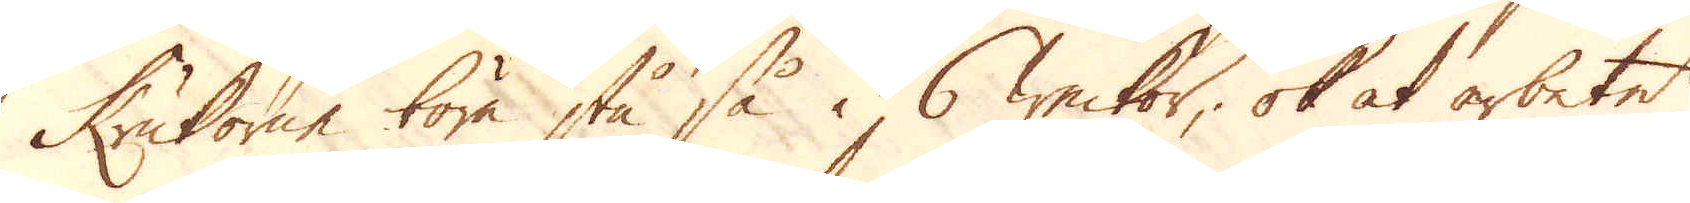Krukorne böra stå så i 6 weckor, ok at arbetet
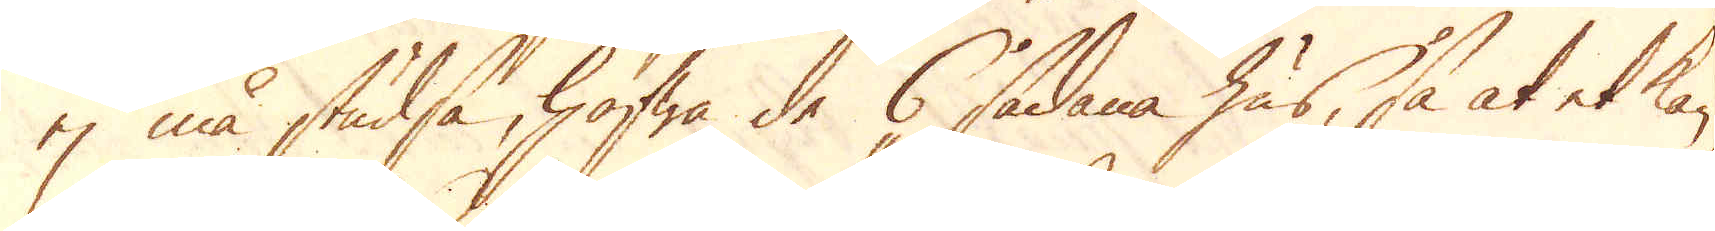ej må studsa, hafwa de 6 sådana hus, så at et kan
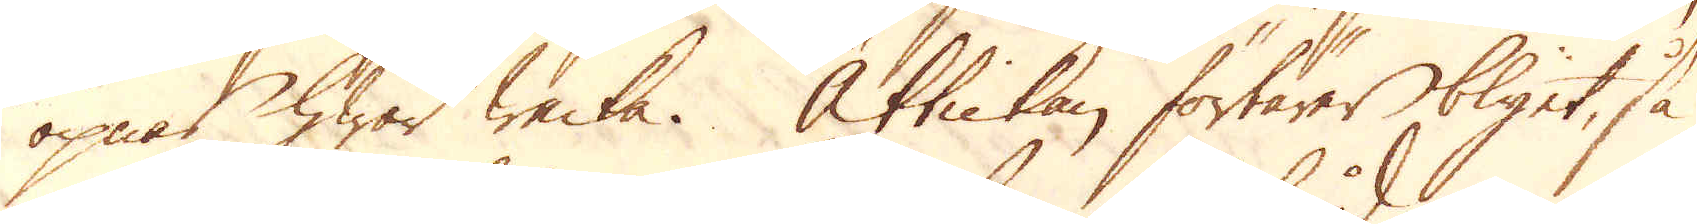öpnas hwar wecka. Ättickan förtärer blyet, så
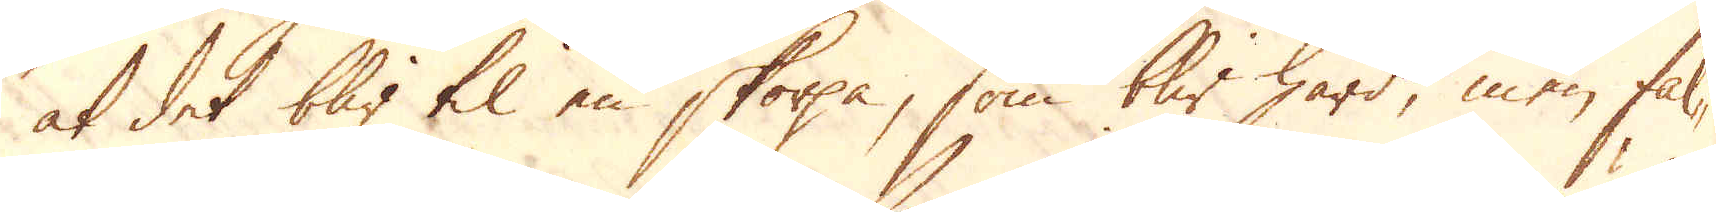at det blir til en skorpa, som blir hård, men fal-
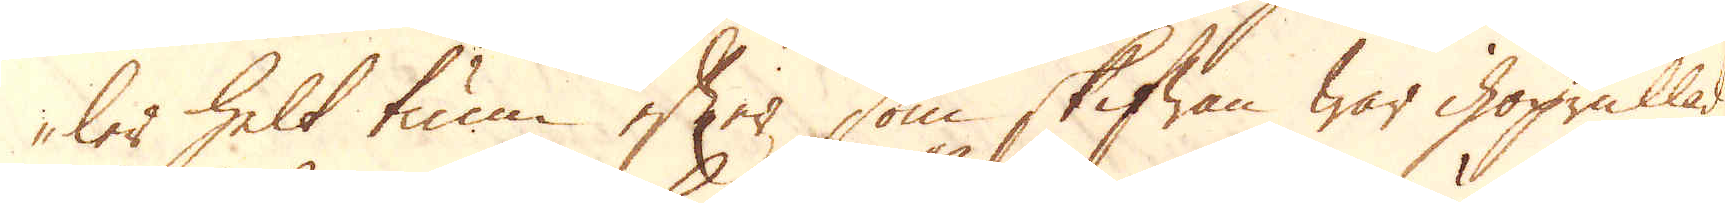ler helt tum efter som skifwan war ihoprullad,
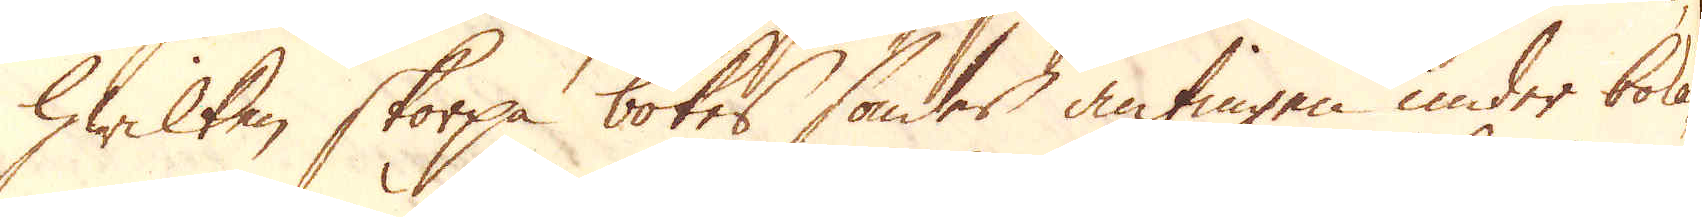hwilken skorpa bokes sönder antingen under boka-
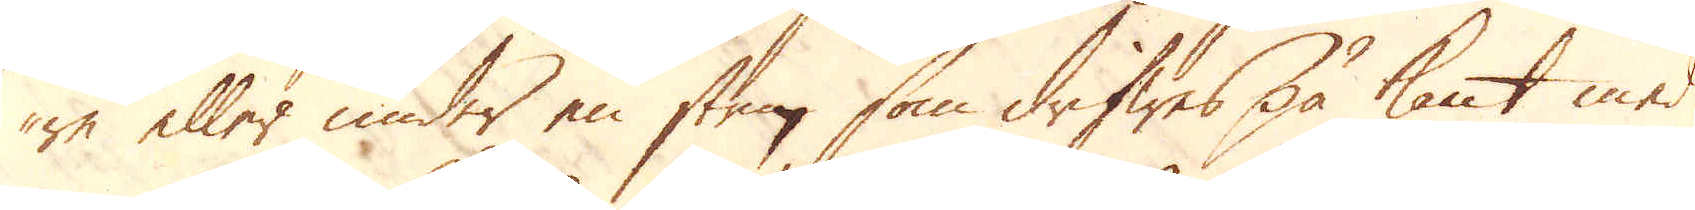re eller under en sten, som drifwes på kant med
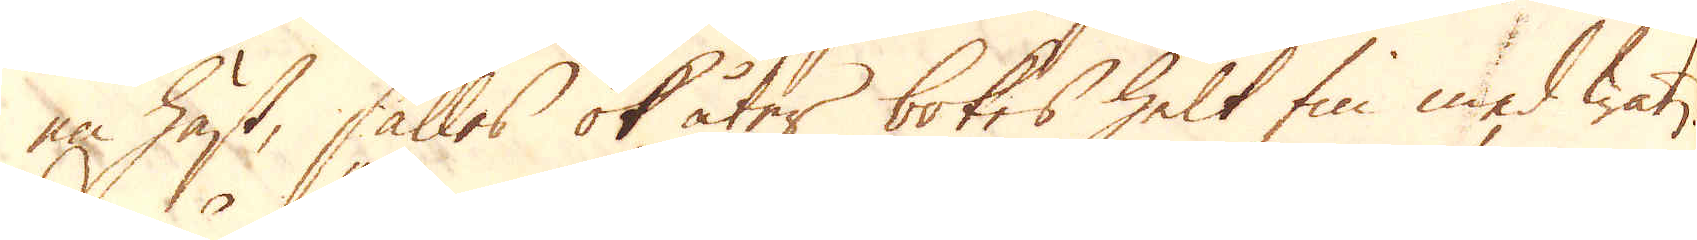en häst, sålles ok åter bokes helt fin med watn.
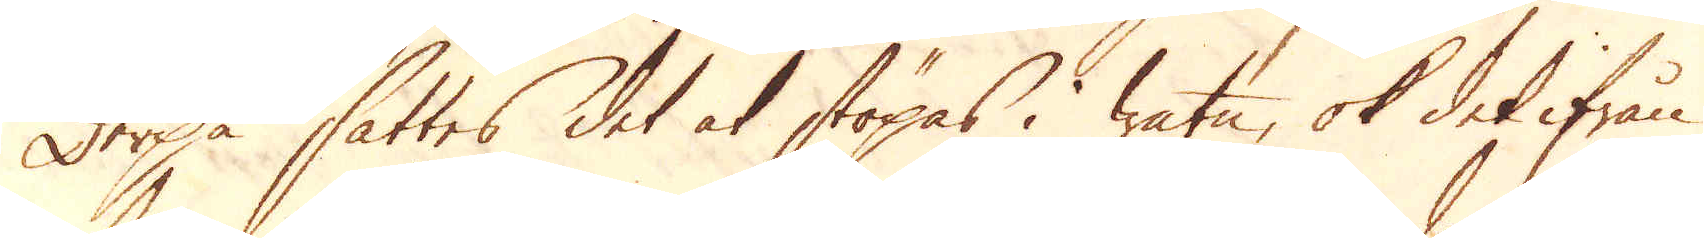Derpå sättes det at stöpas i watn, ok det ifrån
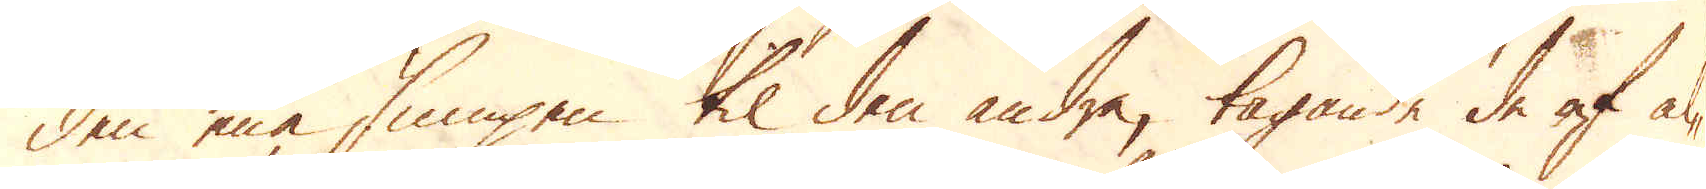den ena sumpen til den andra, tagande de af al-
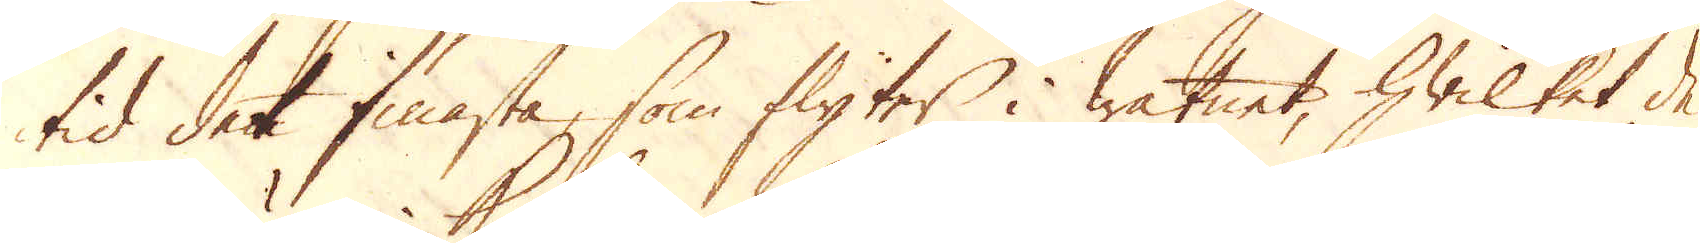tid det finnasta, som flyter i watnet, hwilket de
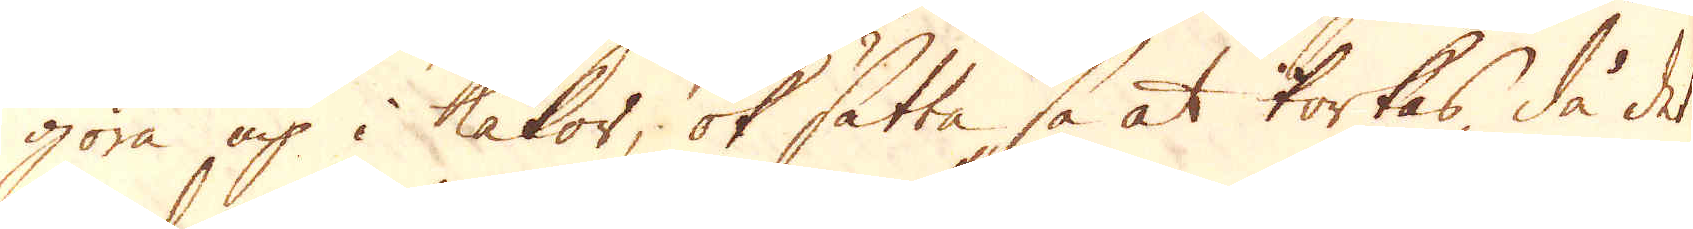göra up i kakor, ok sätta så at torkas, då det
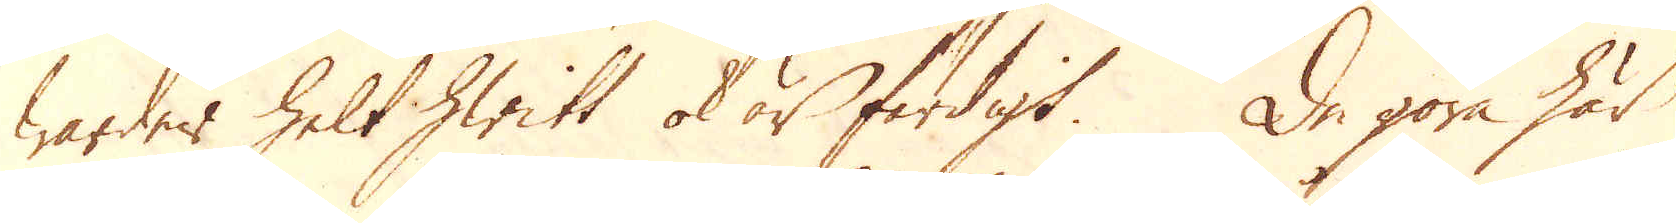warder helt hwitt ok är färdigt. De göra här
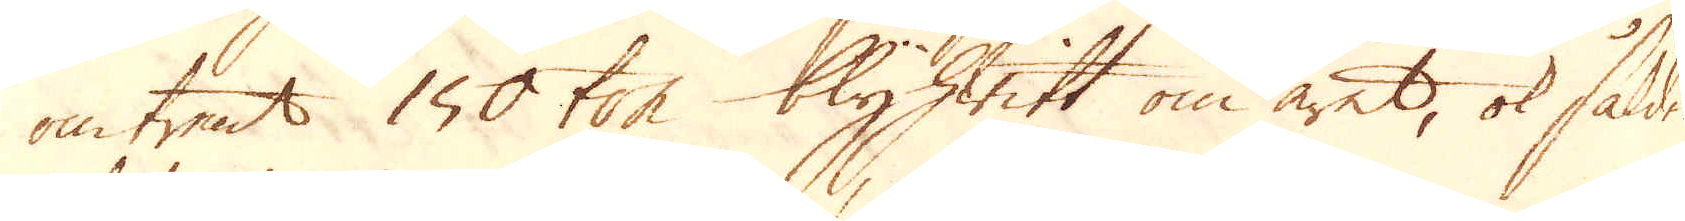omtrent 150 ton blyhwitt om året, ok sålde
